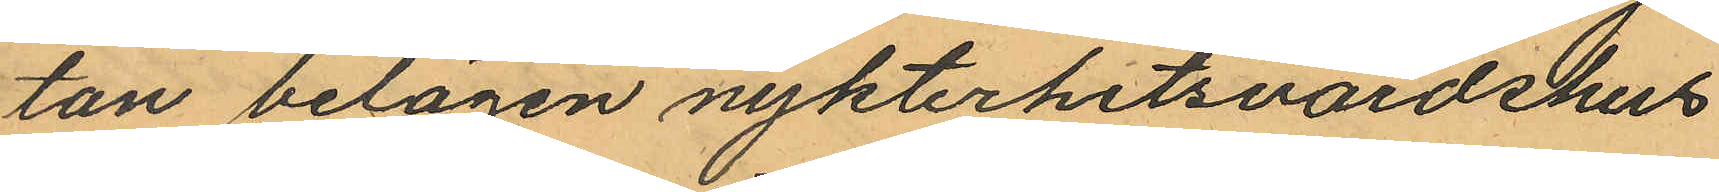tan belägen nykterhetsvärdshus
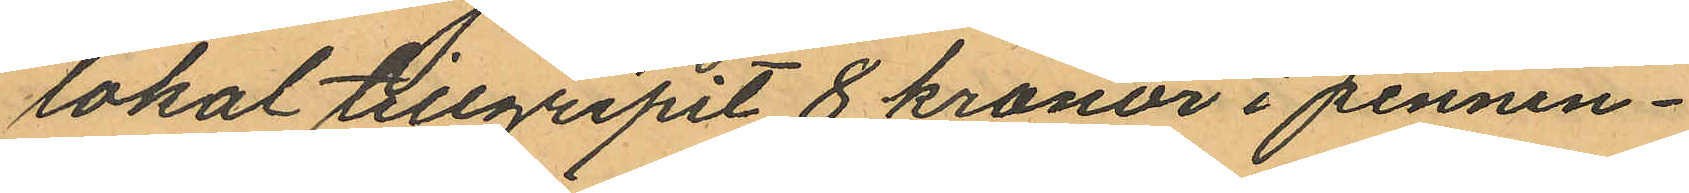lokal tillgripit 8 kronor i pennin¬
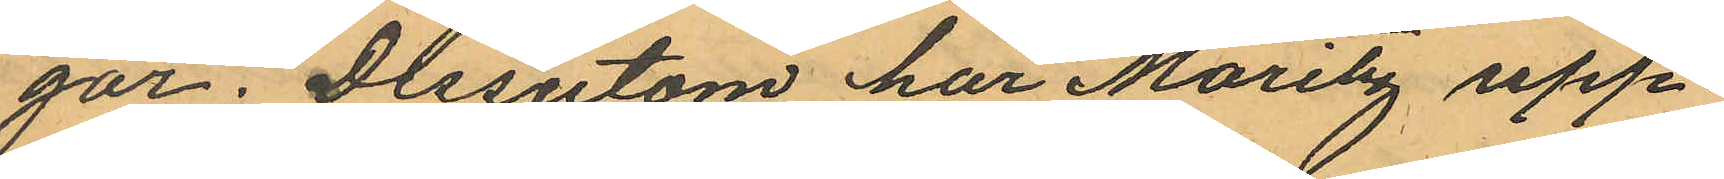gar; Dessutom har Moritz upp¬
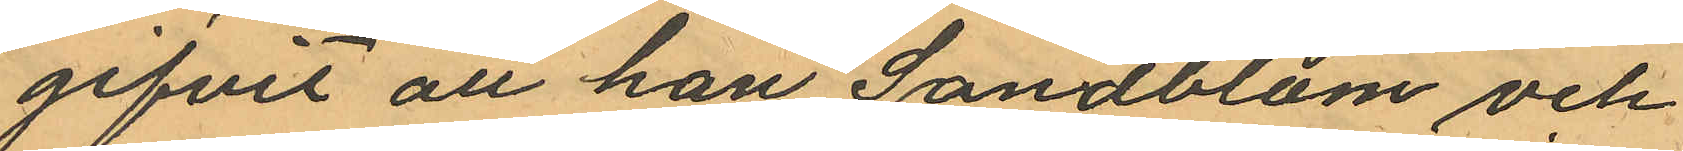gifvit att han Sandblom och
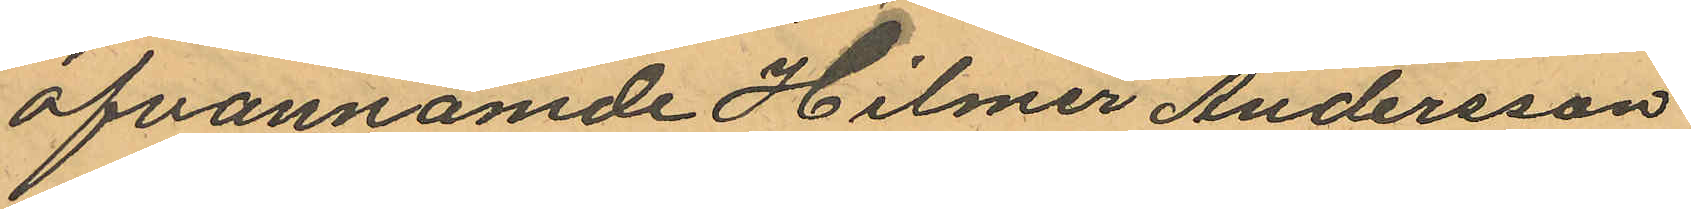ofvannämde Hilmer Andersson
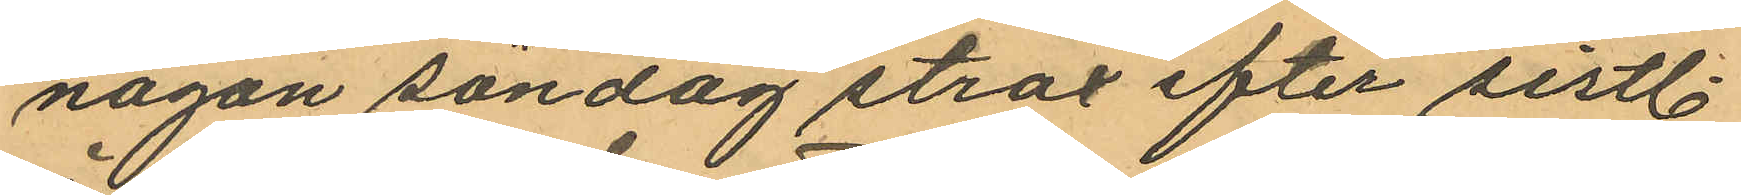någon söndag strax efter sistl.
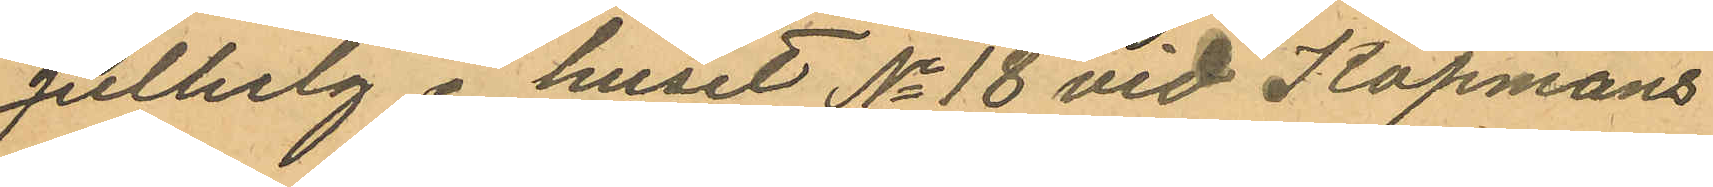Julhelg i huset No 18 vid Köpmans
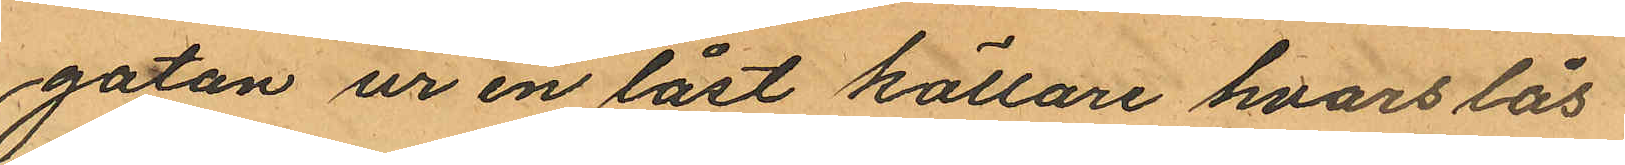gatan ur en låst källare hvars lås
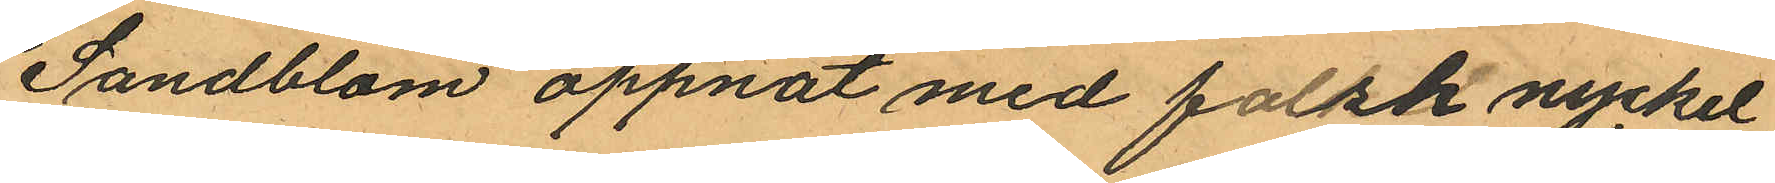Sandblom öppnat med falsk nyckel
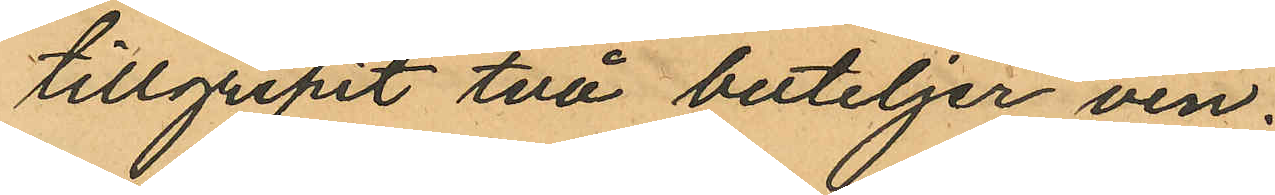tillgripit två buteljer vin.
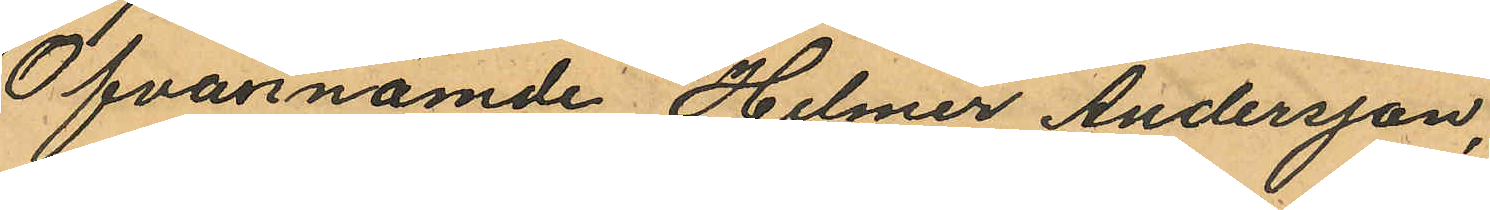Ofvannämde Hilmer Andersson,
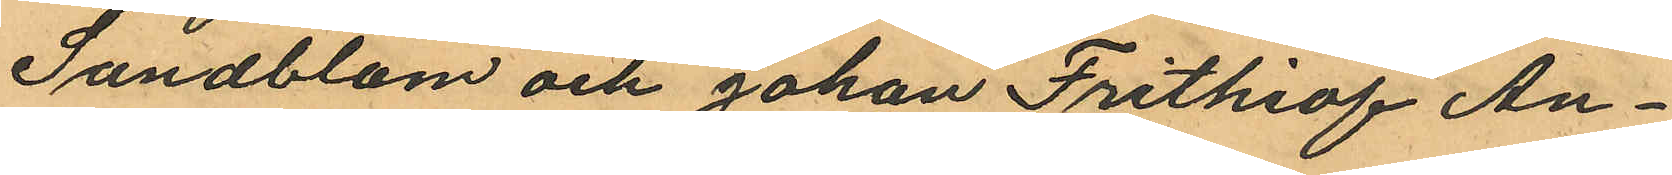Sandblom och Johan Frithiof An¬
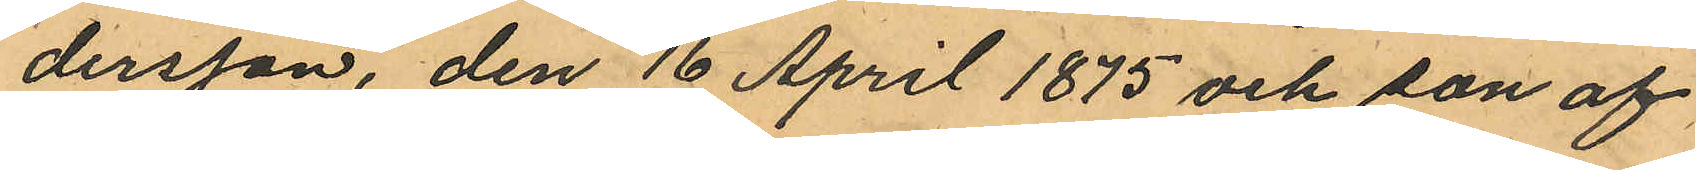dersson, den 16 April 1875 och son af
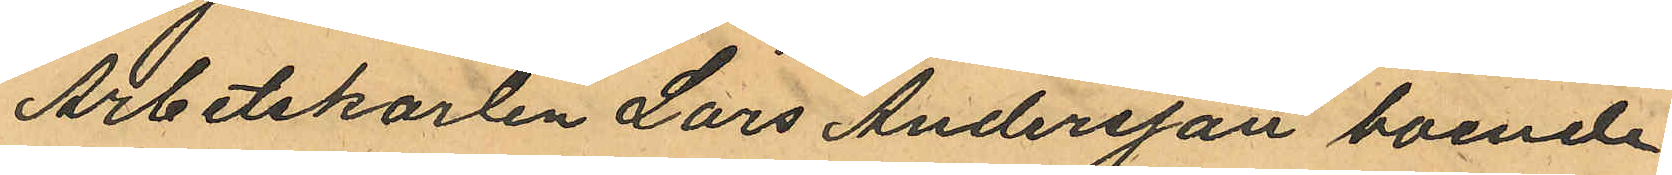Arbetskarlen Lars Andersson boende
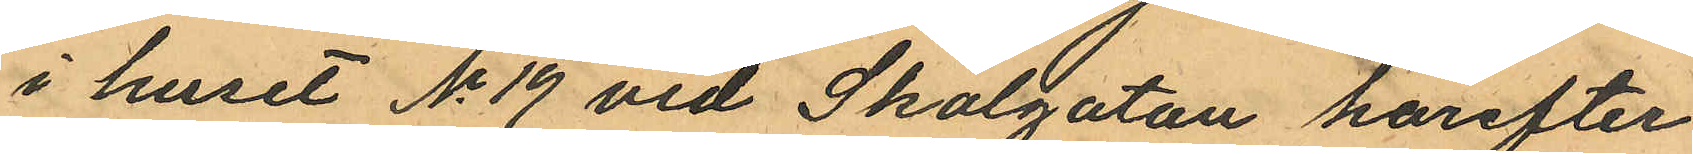i huset No 19 vid Skolgatan härefter
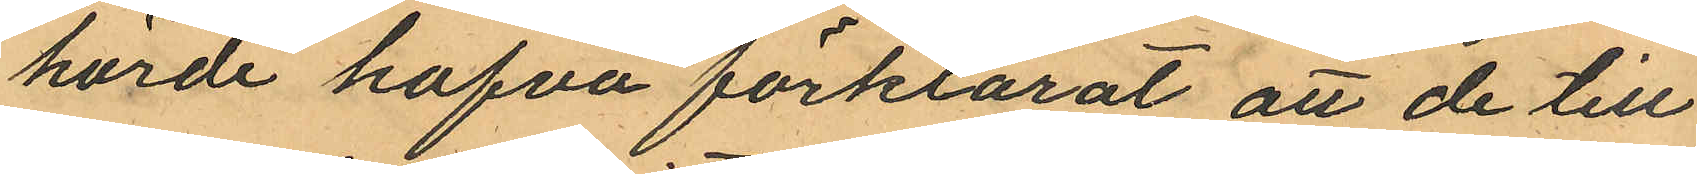hörde hafva förklarat att de till
